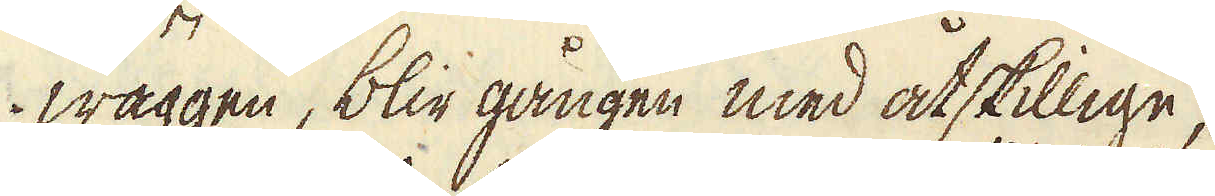wäggen, blir gången med åtskillige,
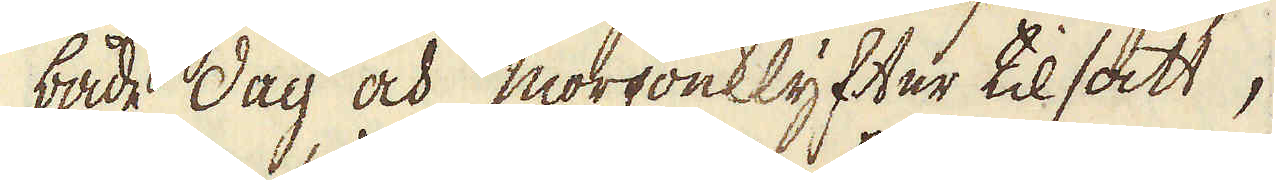både dag och morgonklyfter tilsatt,
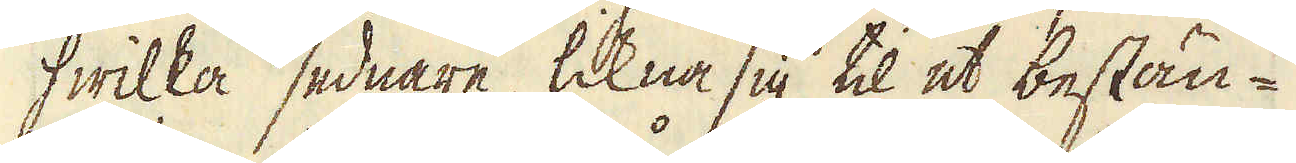hwilka sednare, likna sig til et bestän-
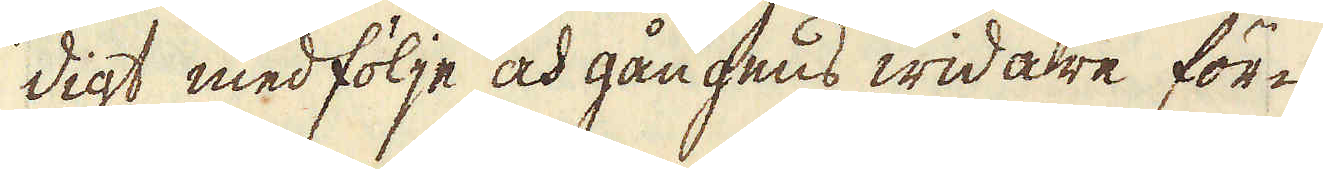digt medfölje och gångens widare för-
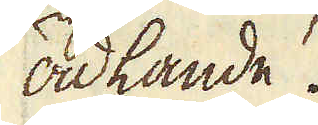ädlande.
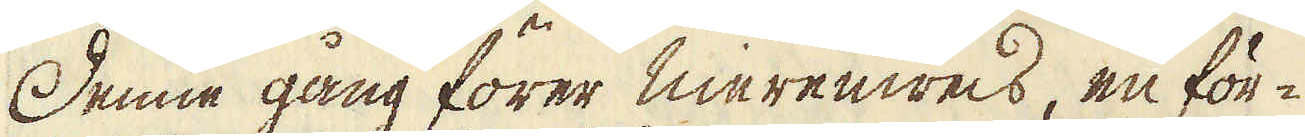Denne gång förer nierenweis, en för-
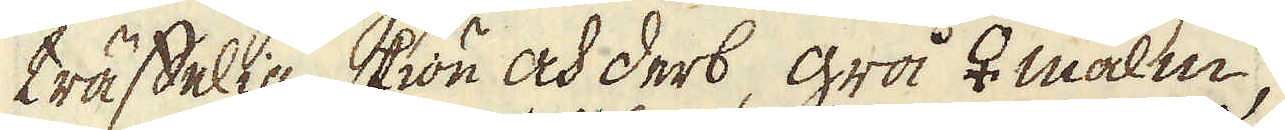träffelig skiön och derb, grå ♀ malm,
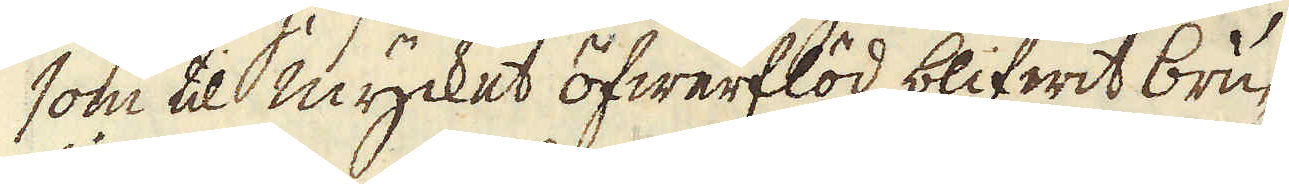som til mycket öfwerflöd blifwit bru-
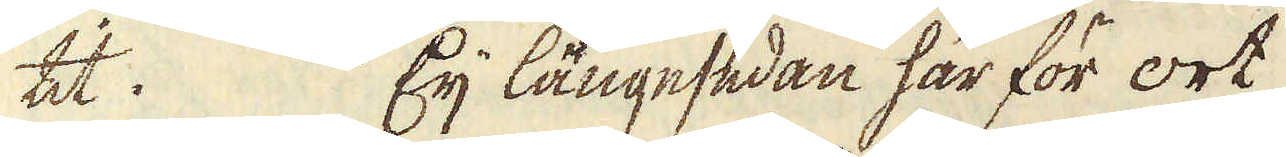tit. Eij längesedan har för ort
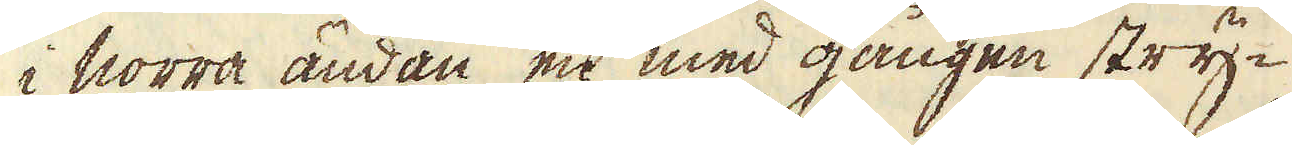i norra ändan en med gången stry-
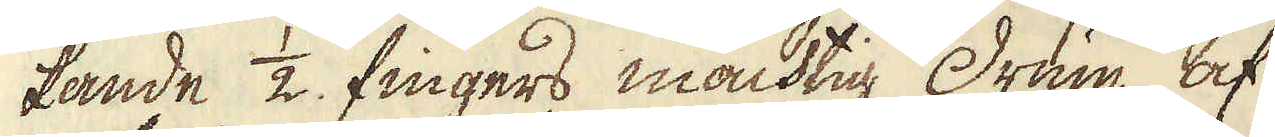kande 1/2 fingers mächtig Drum af
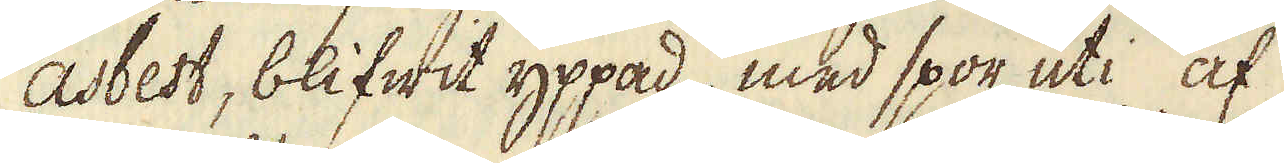asbest, blifwit yppad, med spor uti af
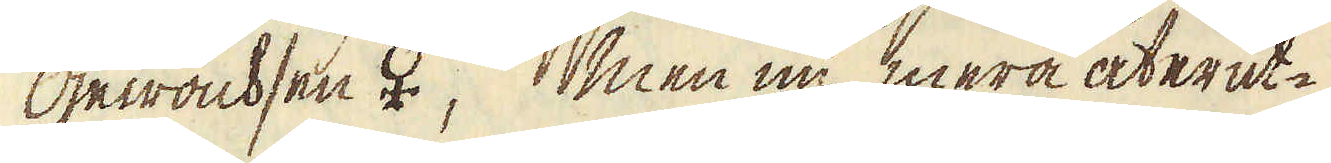gewachsen ♀, men nu mera åter ut-
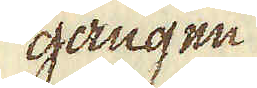gången
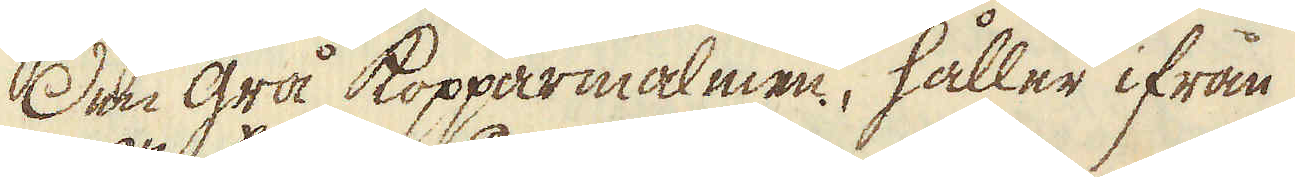Den grå kopparmalmen, håller ifrån
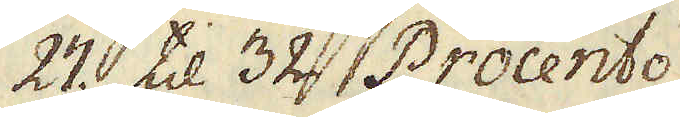27. til 32. Procento
